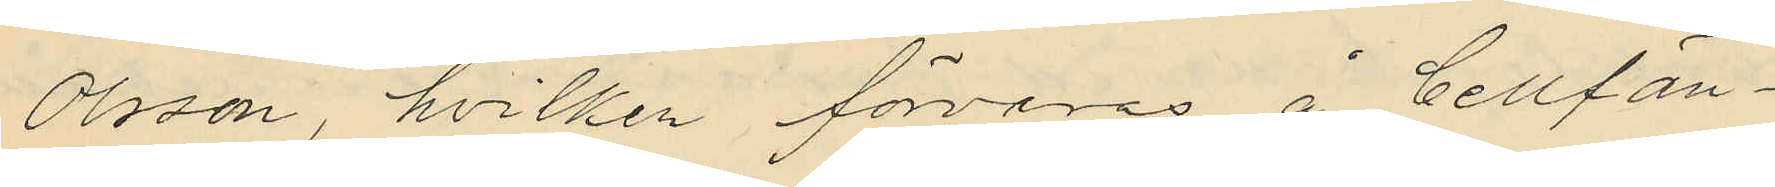Olsson, hvilken förvaras å Cellfän¬
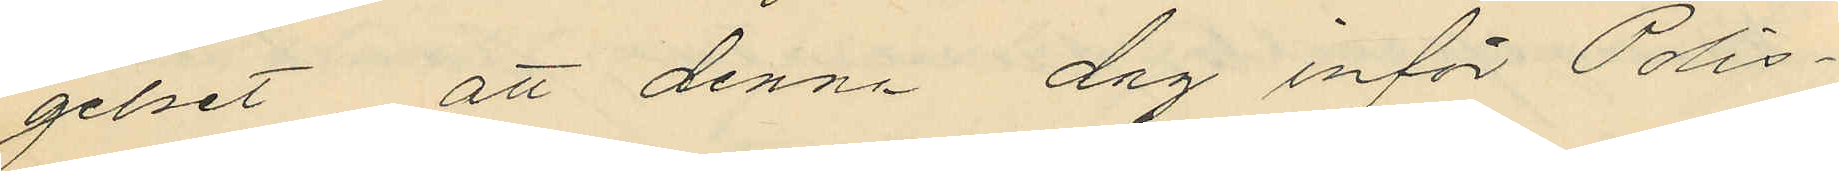gelset att denna dag inför Polis¬
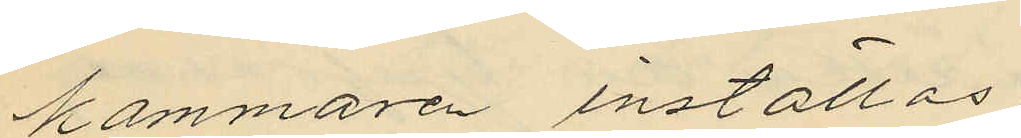kammaren inställas.
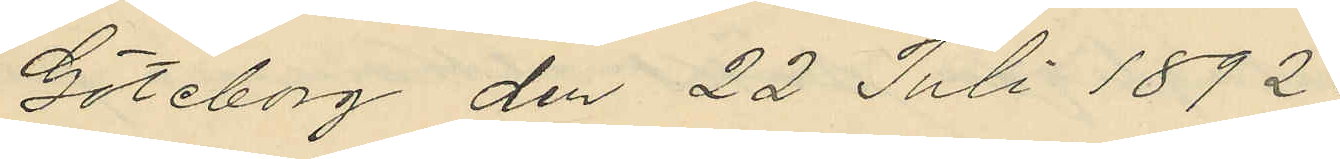Göteborg den 22 Juli 1892.
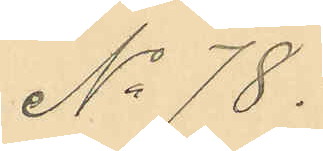No 78.
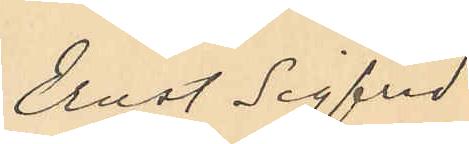Ernst Sigfrid
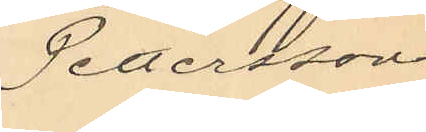Pettersson
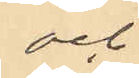och
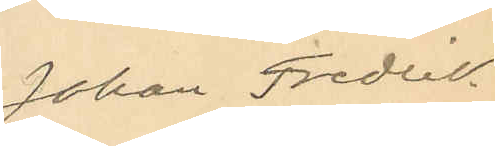Johan Fredik
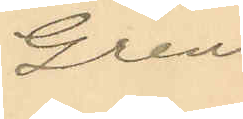Gren.
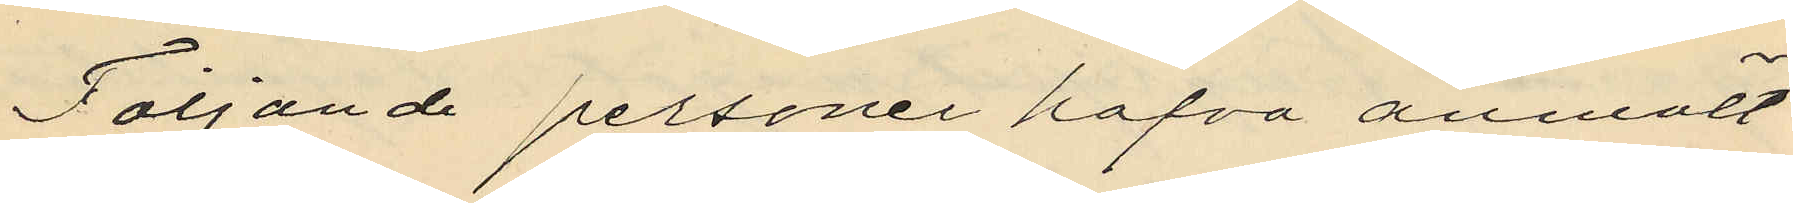Följande personer hafva anmält
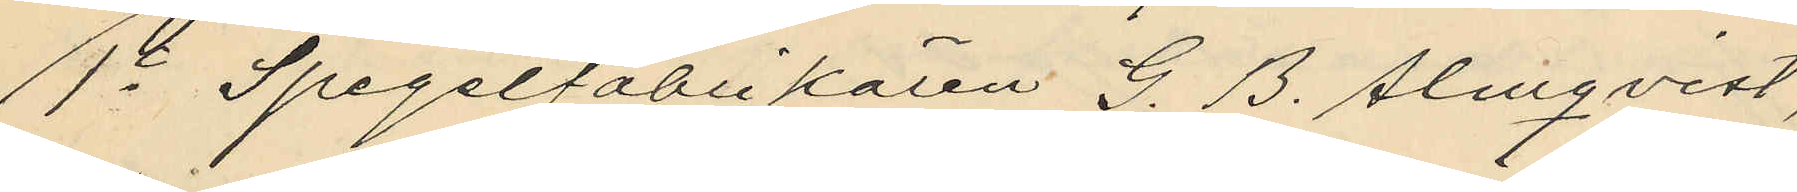1o Spegelfabrikören G. B. Almqvist,
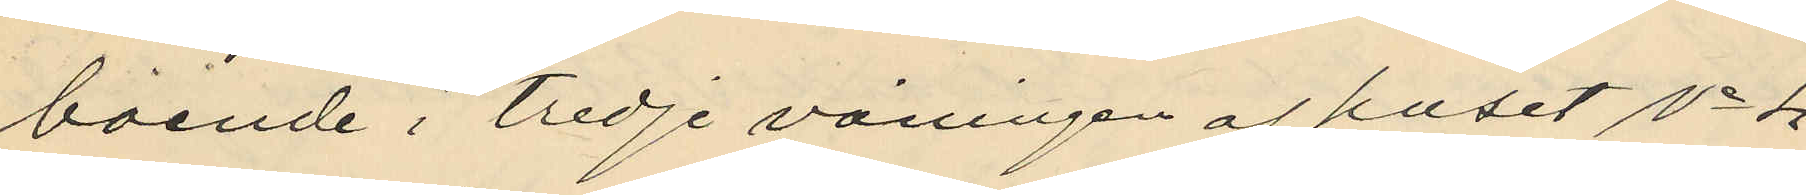boende i tredje våningen af huset No 1
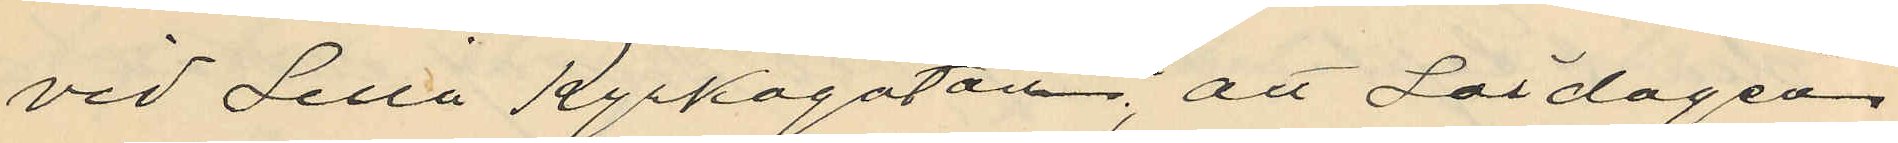vid Lilla Kyrkogatan, att Lördagen
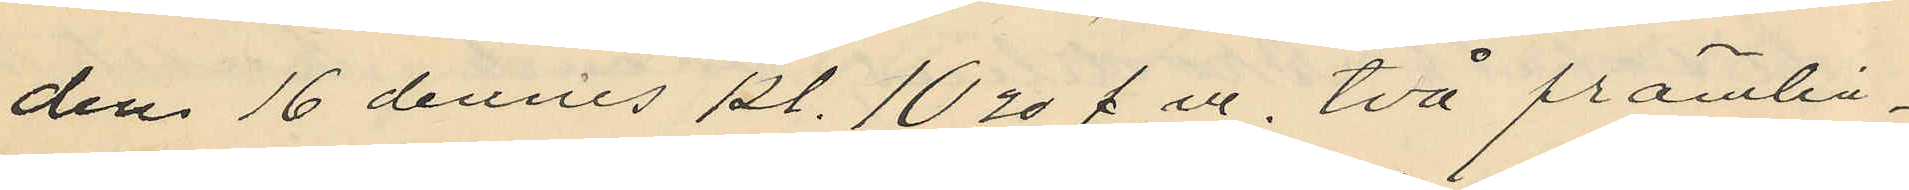den 16 dennes kl. 10,30 f. m, två främlin¬
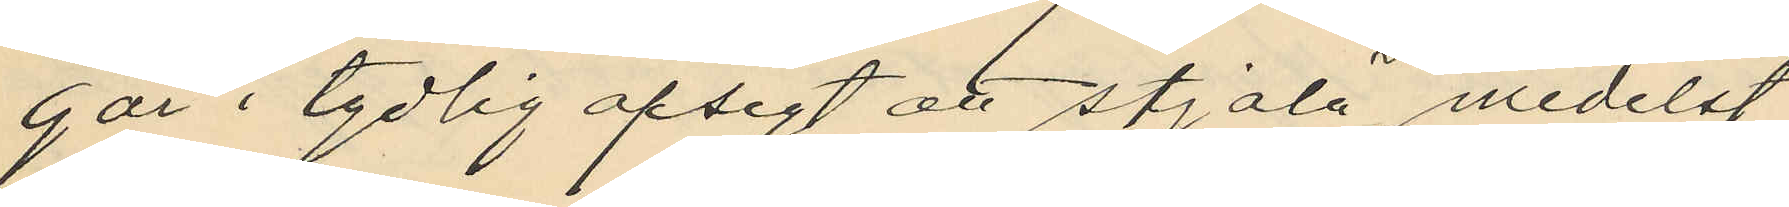gar i tydlig afsigt att stjäla, medelst
